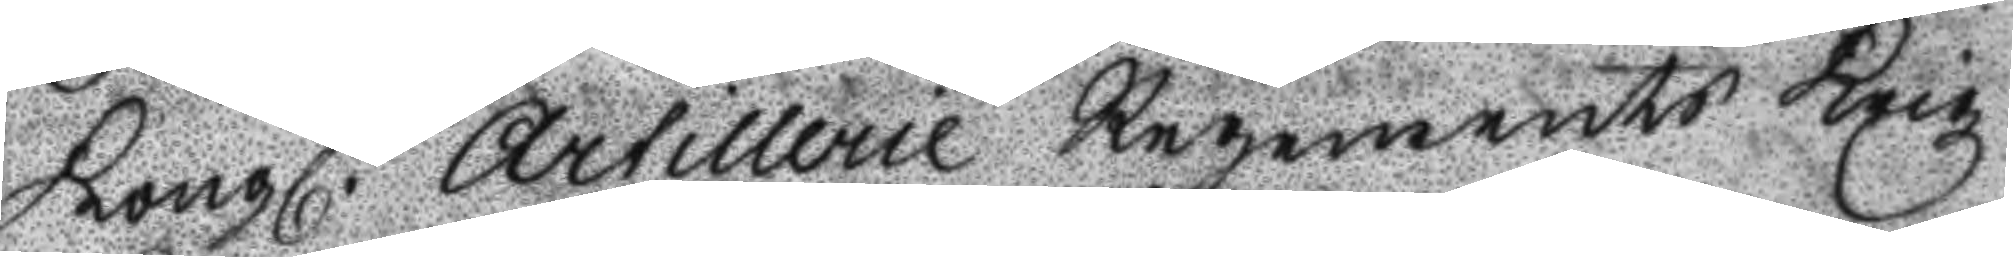Kongl. Artillerie Regements Krigz
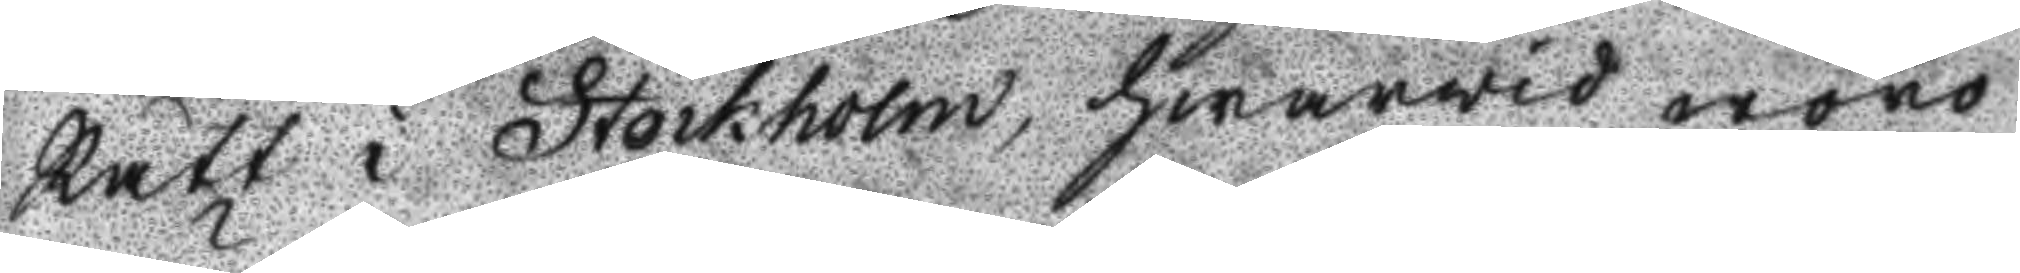Rätt i Stockholm, hwarvid woro
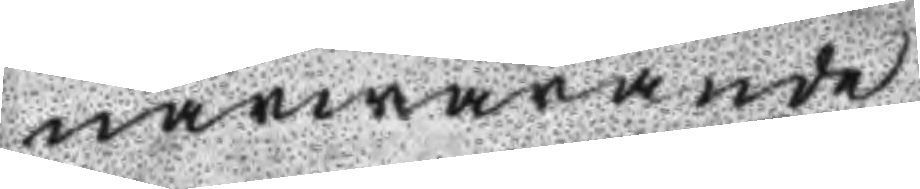närwarande
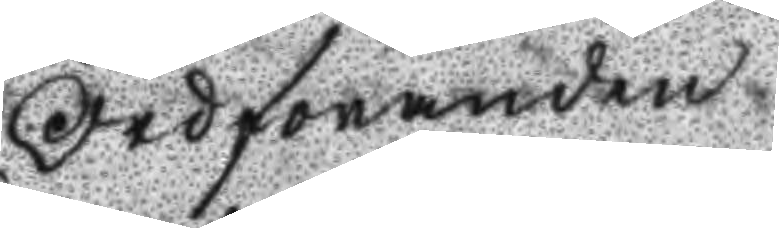Ordföranden
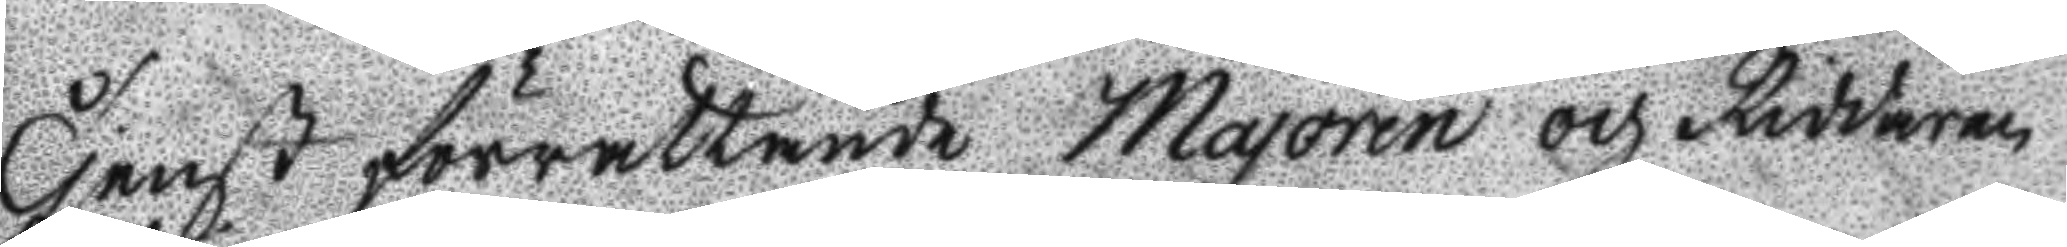Tjenst förättande Majoren och Riddaren
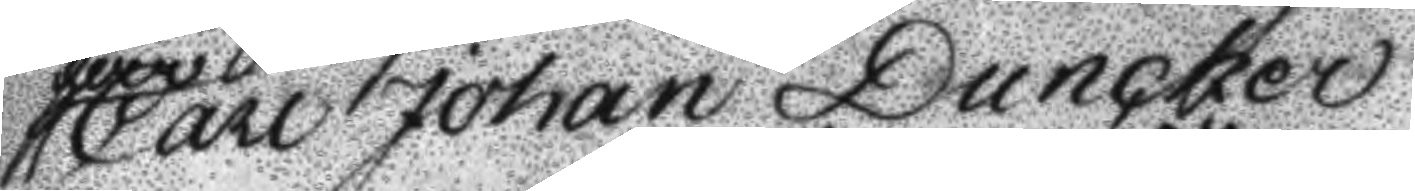Carl Johan Duncker.
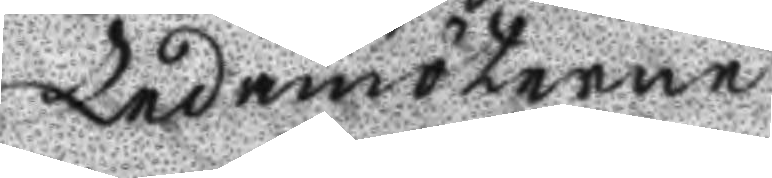Ledamöterne
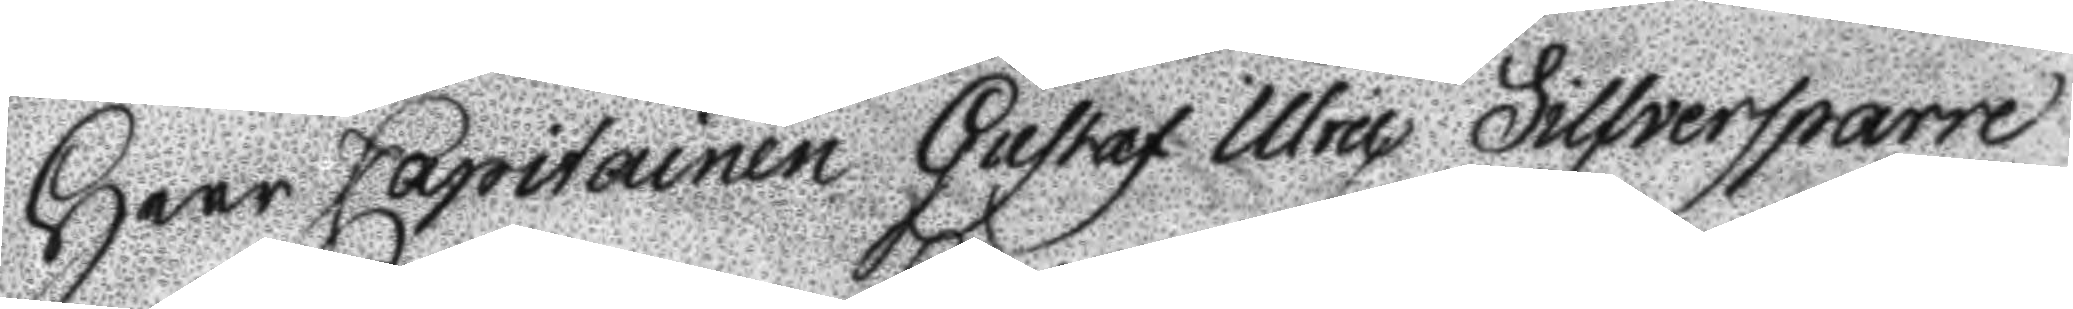Herr Capitainen Gustaf Ulric Silfversparre
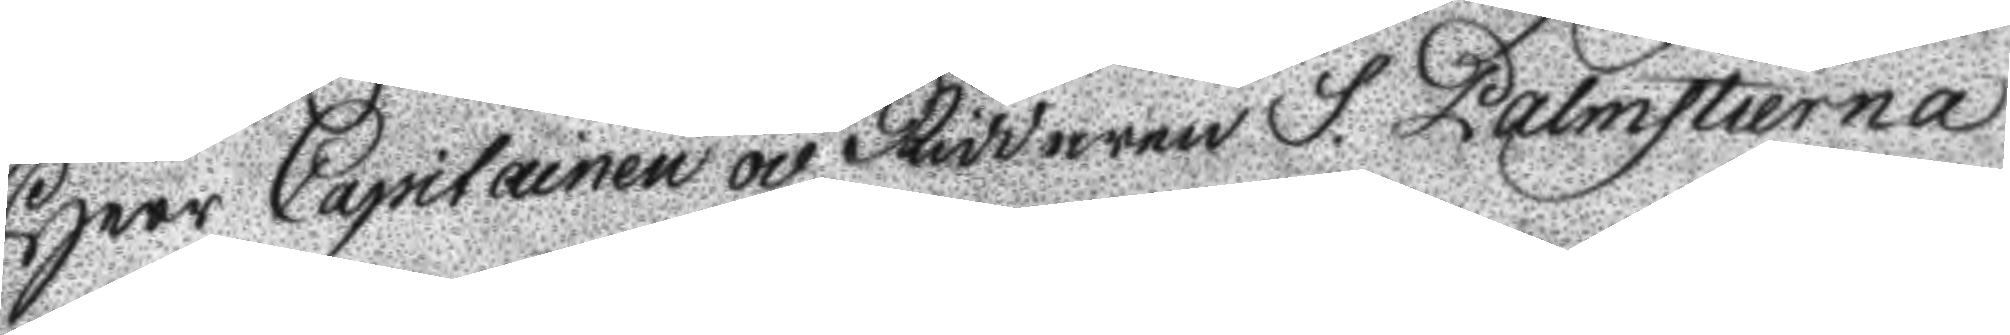Herr Capitainen och Riddaren S. Palmstierna
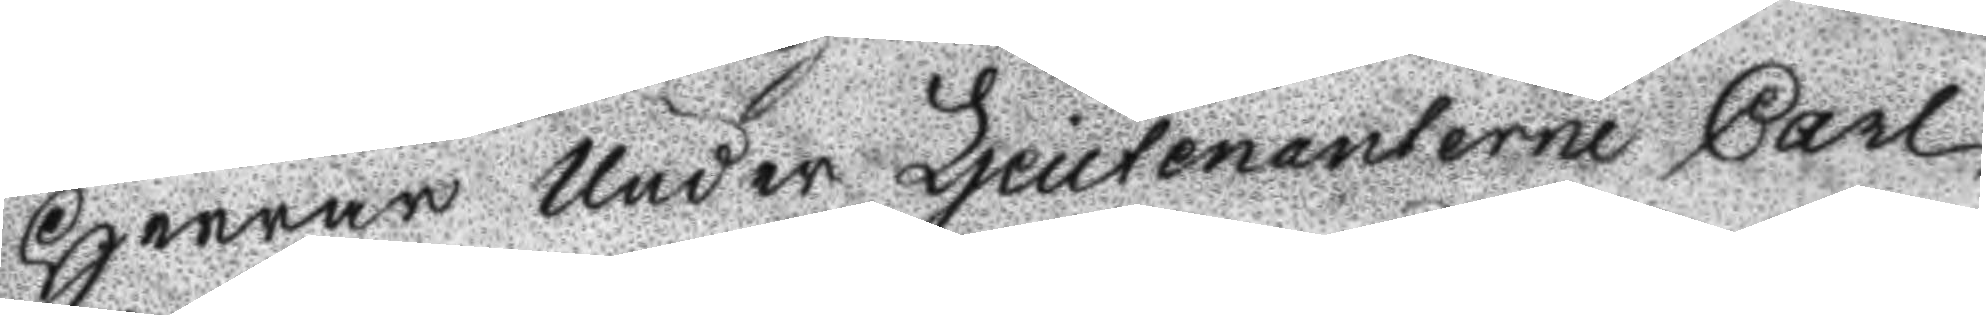Herrar Under Ljeutenanterne Carl
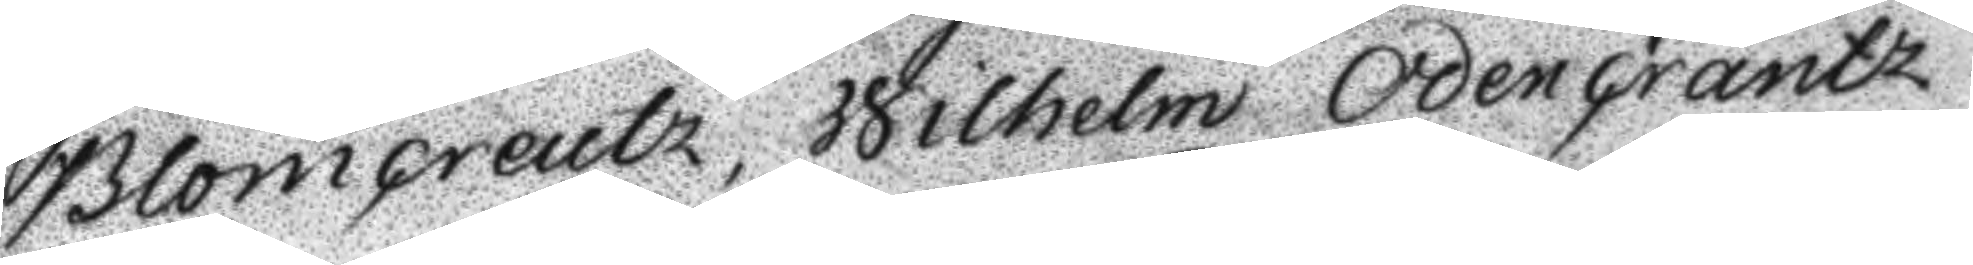Blomcreutz, Wilhelm Odencrantz
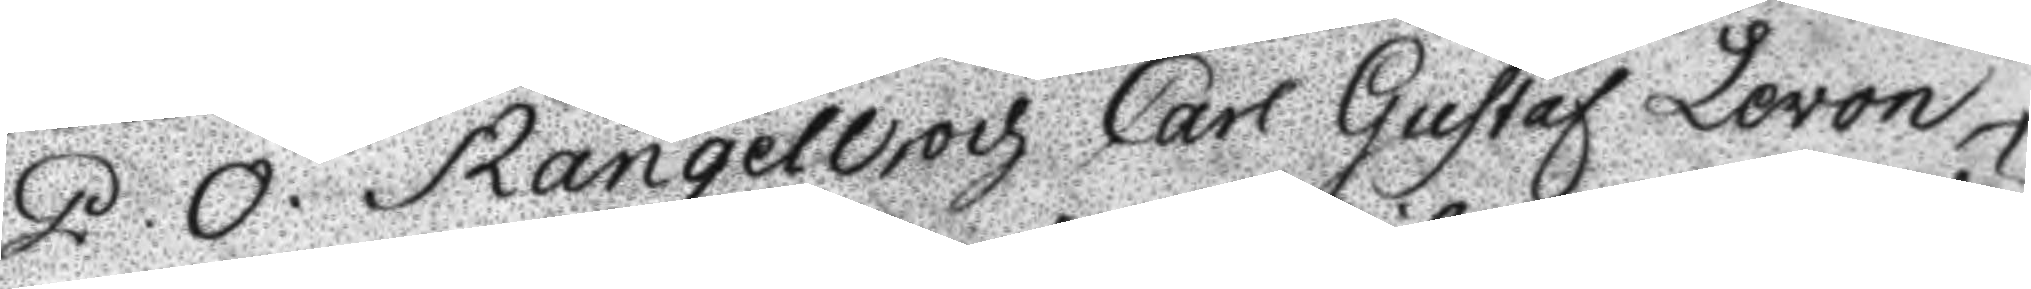P. O. Rangellroch Carl Gustaf Levon
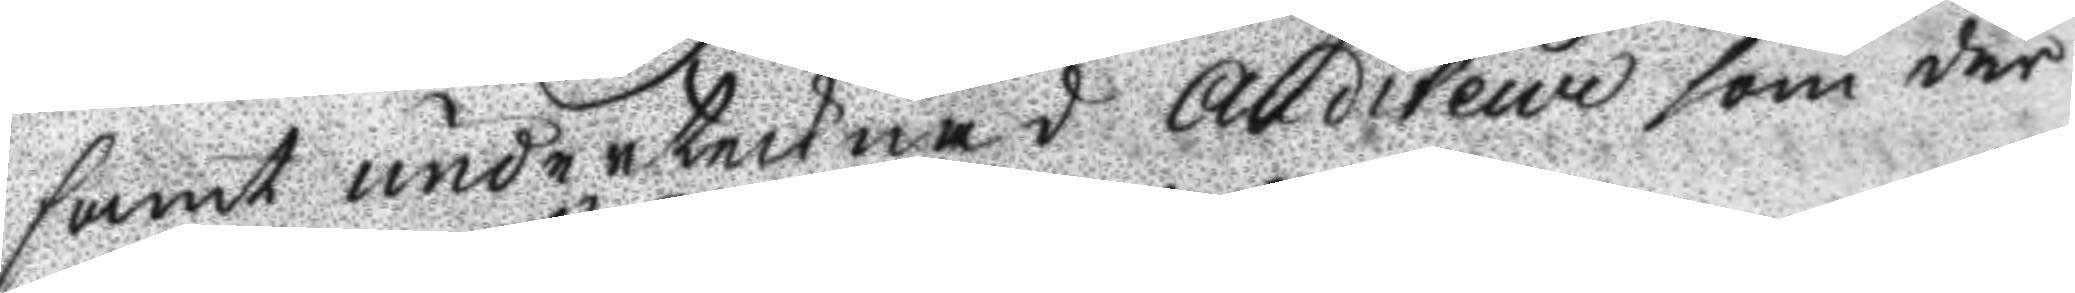samt undertecknad Auditeur som där
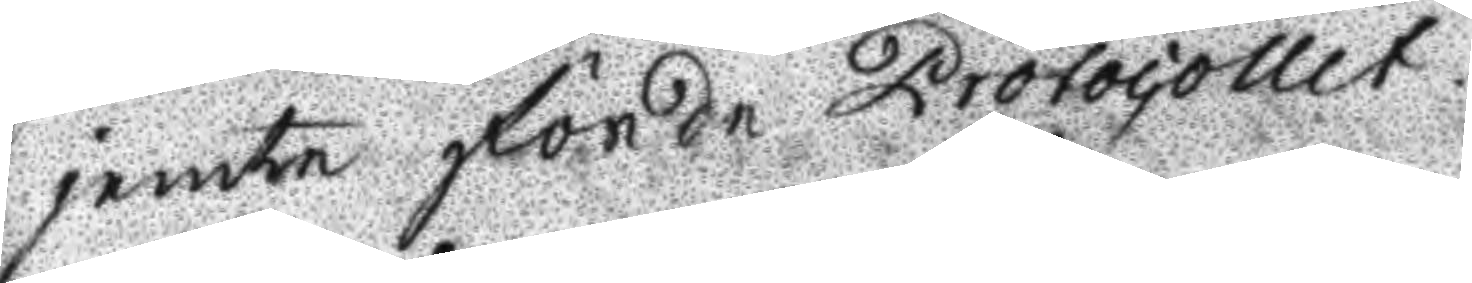jemte förde Protocollet
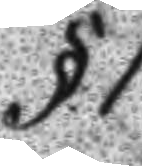§.1.
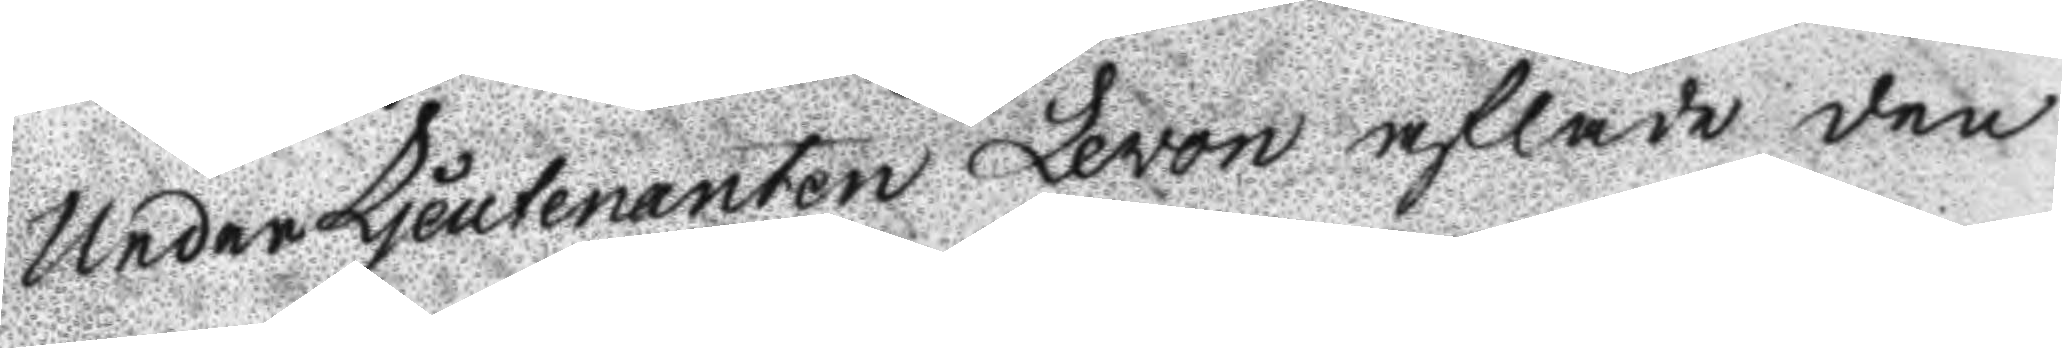UnderLjeutenanten Levon aflade den
